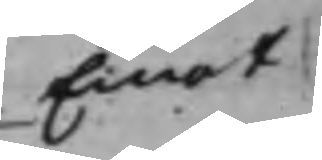Emot
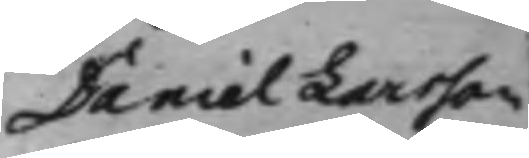Daniel Larsson
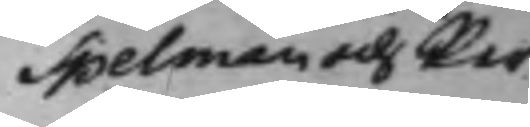Spelman och Per
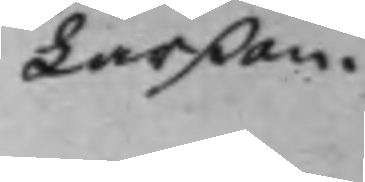Larßon.
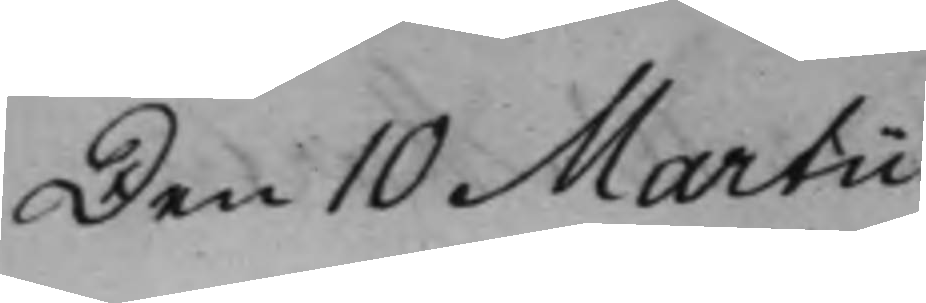Den 10 Martii
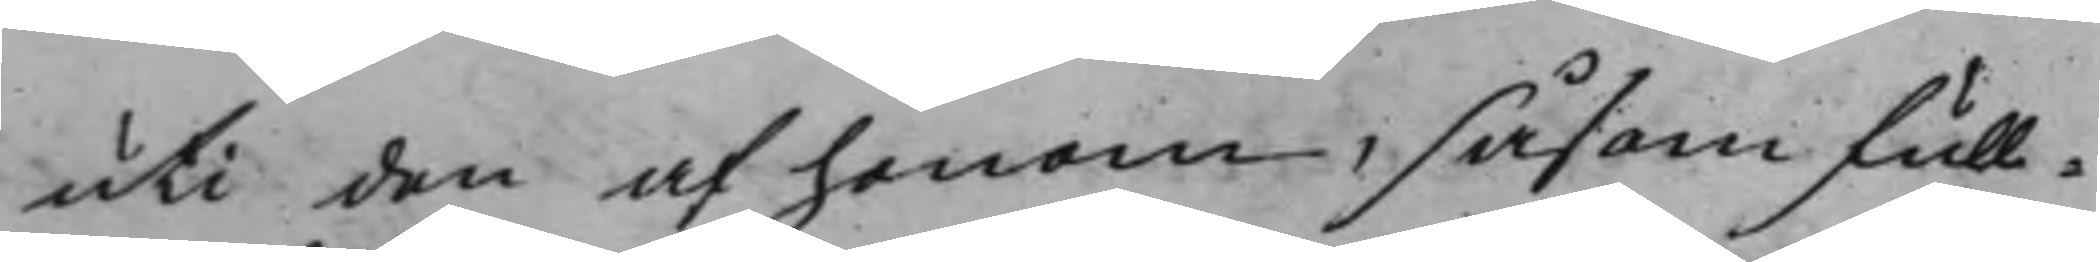uti den af honom, såsom full¬
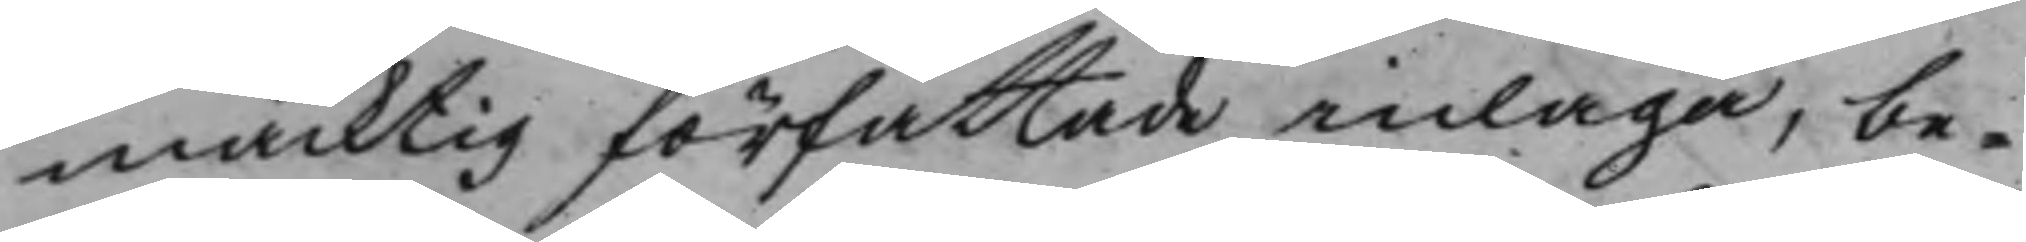mäcktig författade inlaga, be¬
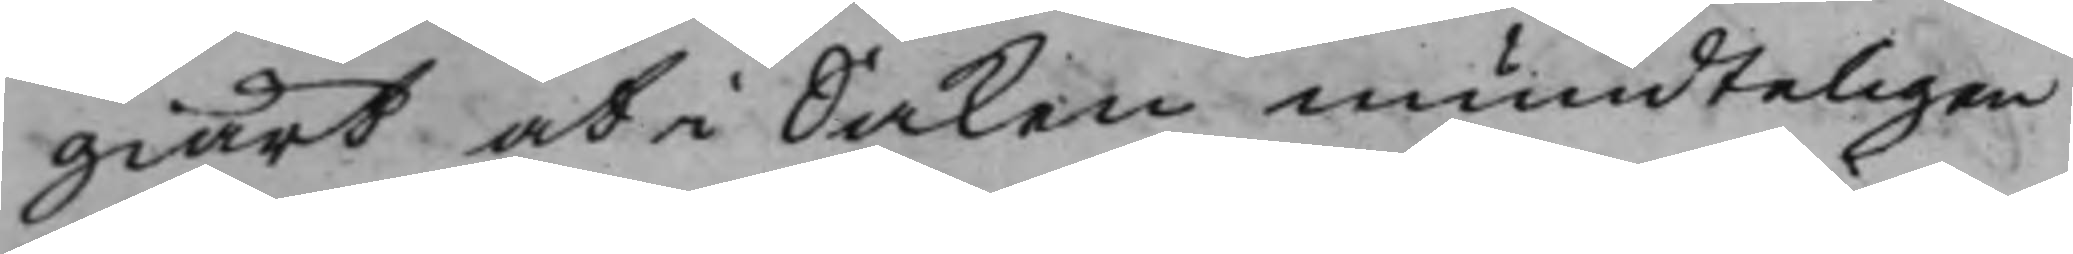giärt at i Saken mundteligen
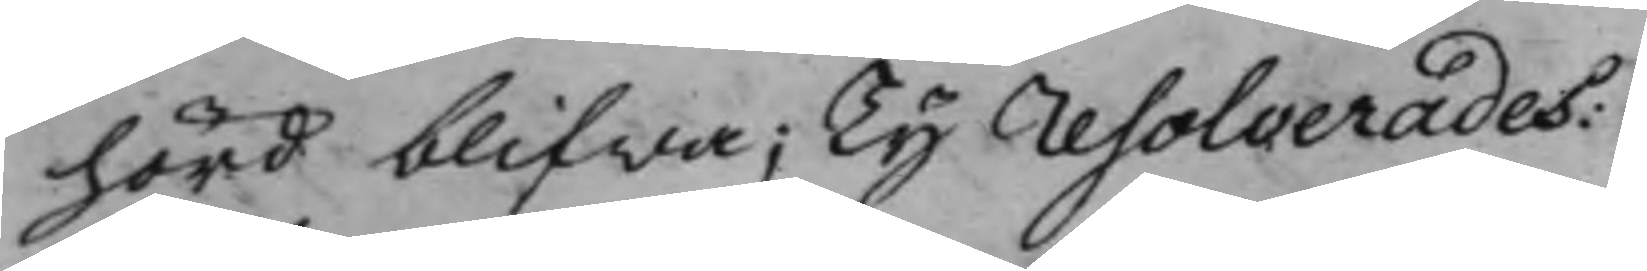hörd blifwa; Ty resolverades:
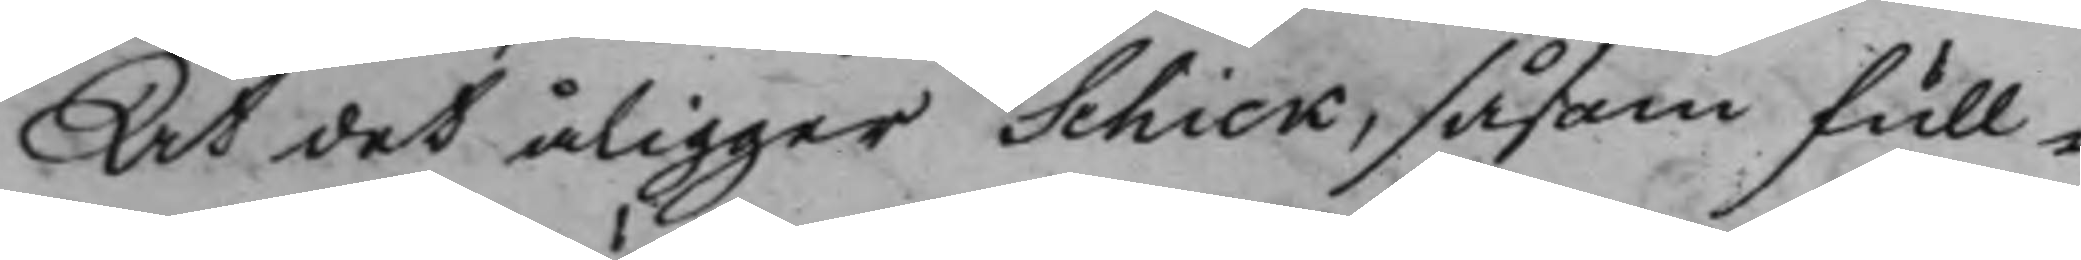At det åligger Schick, såsom< full¬
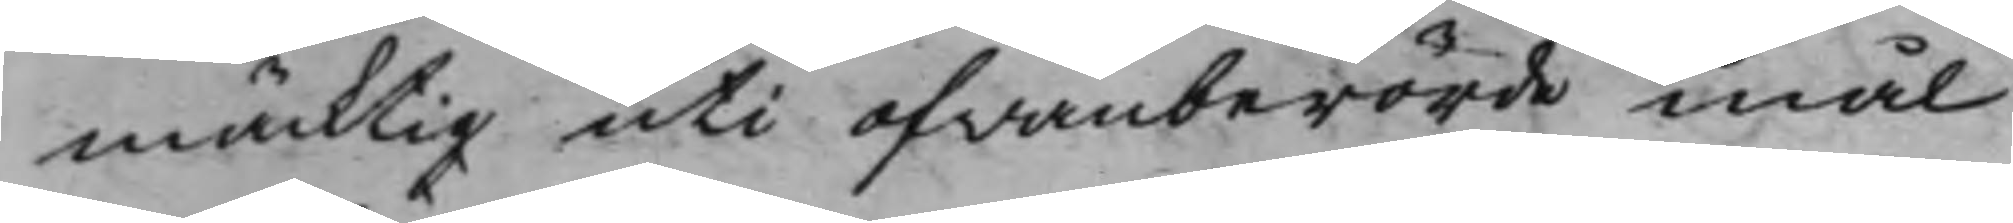mäcktig uti ofwanberörde mål
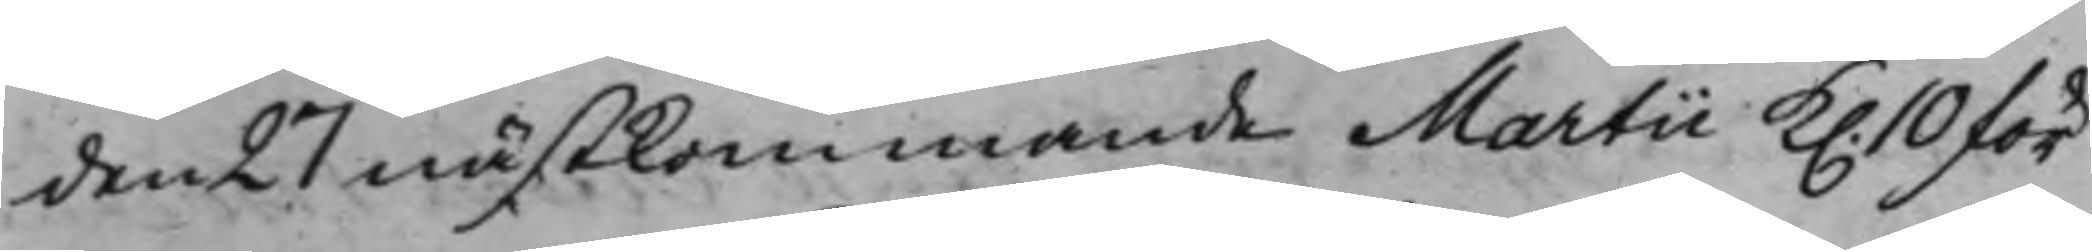den 27 nästkommande Martii K. 10 för¬
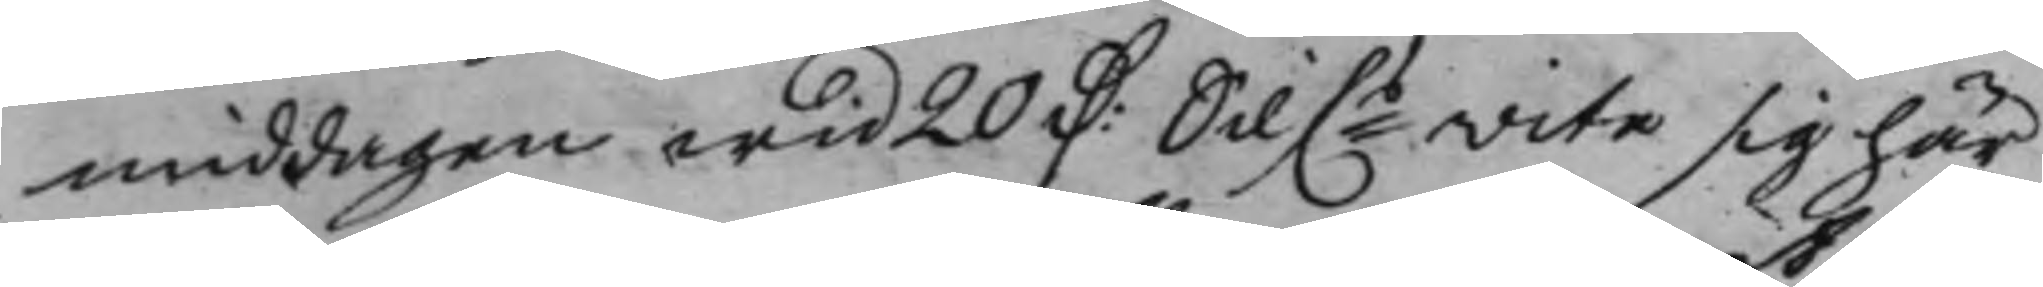middagen wid 20 D: Silf.ts wite sig här
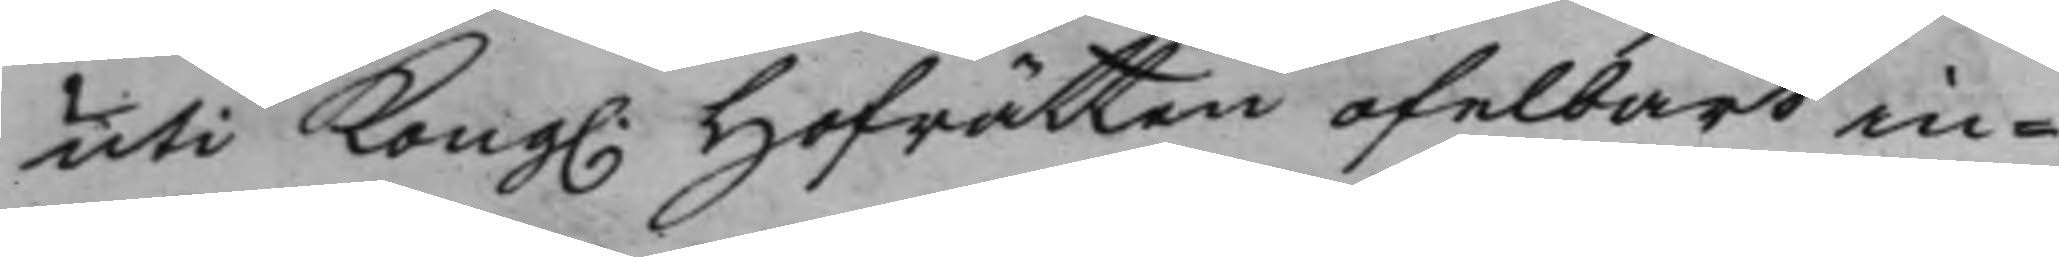uti Kong. Hofrätten ofelbart in¬
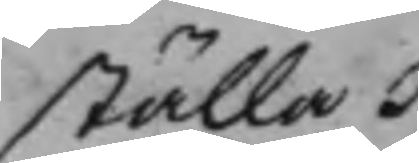ställa.
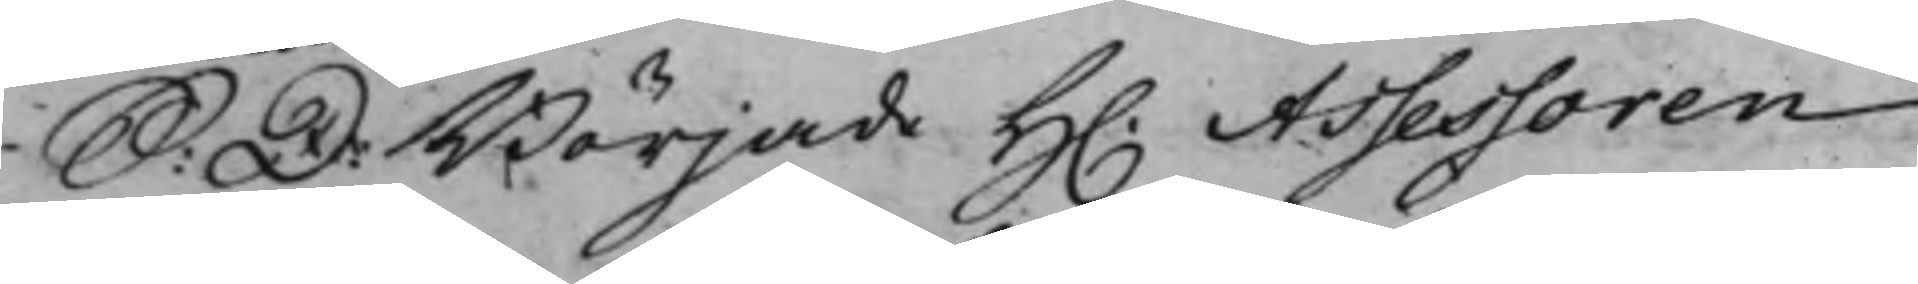S: D: Började H. Assessoren
